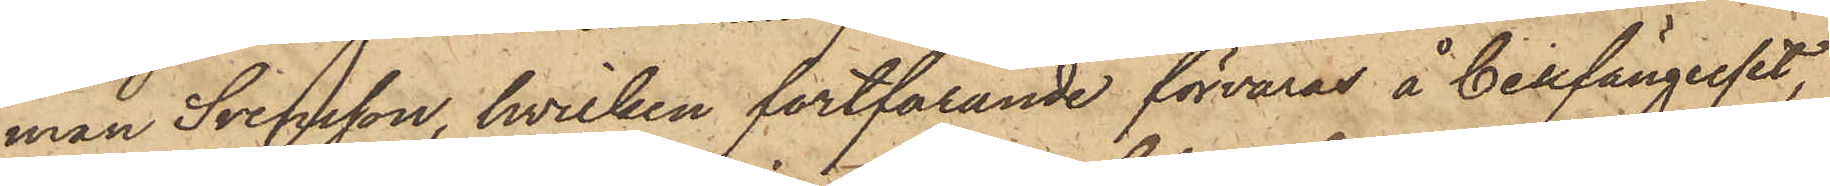man Svensson, hvilken fortfarande förvaras å Cellfängelset,
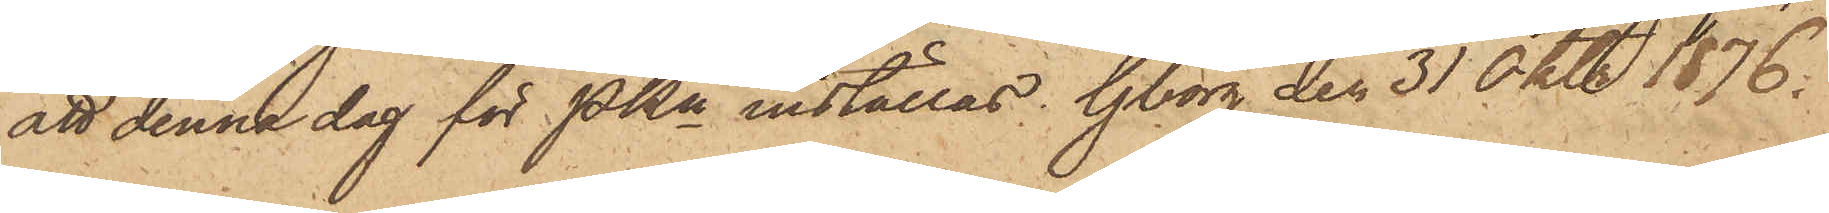att denna dag för PKn inställas. Gborg den 31 Okt. 1876.
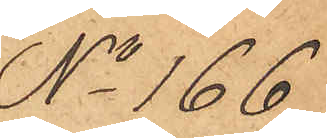No 166
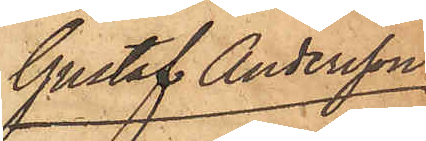Gustaf Andersson
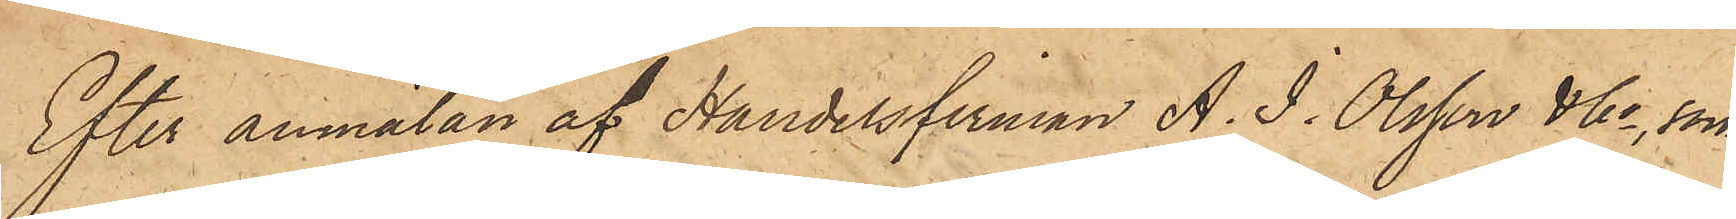Efter anmälan af Handelsfirman A. J. Olsson & Co, som
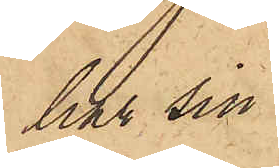har sin
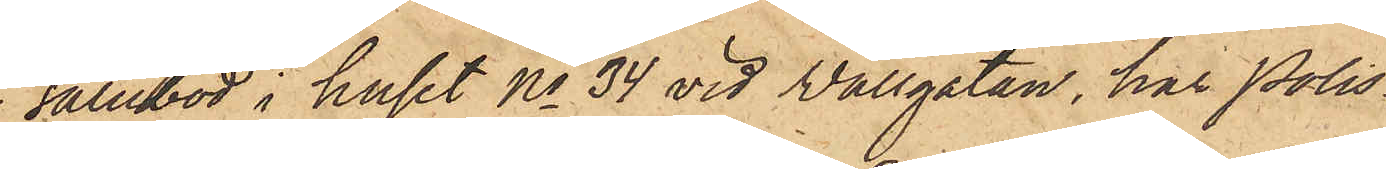salubod i huset No 34 vid Wallgatan, har Polis¬
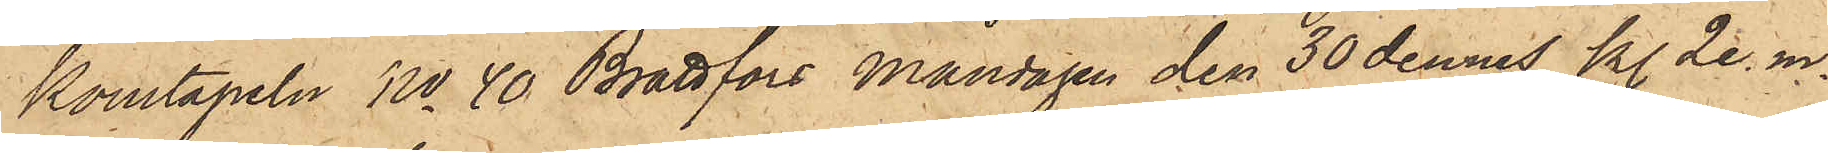konstapeln No 40 Brattfors Måndagen den 30 dennes kl. 2 e. m.
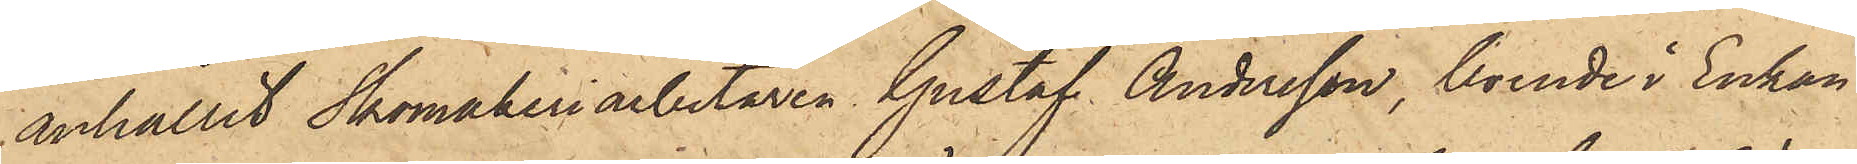anhållit Skomakeriarbetaren Gustaf Andersson, boende i Enkan
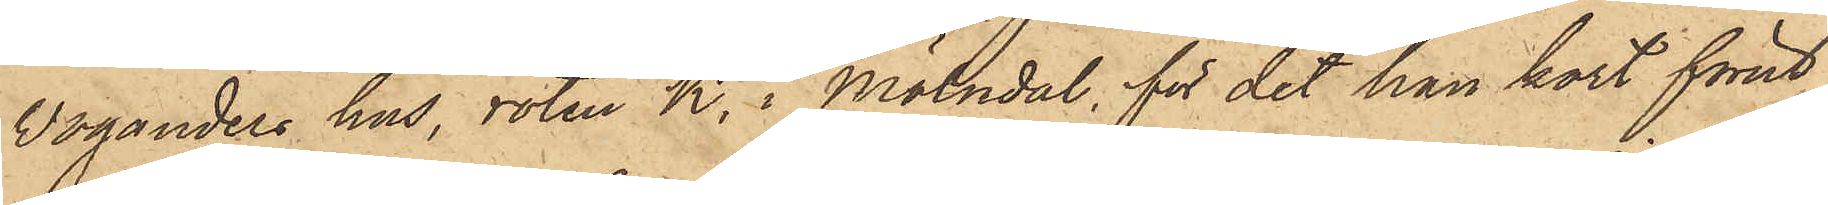Woganders hus, roten K. i Mölndal, för det han kort förut
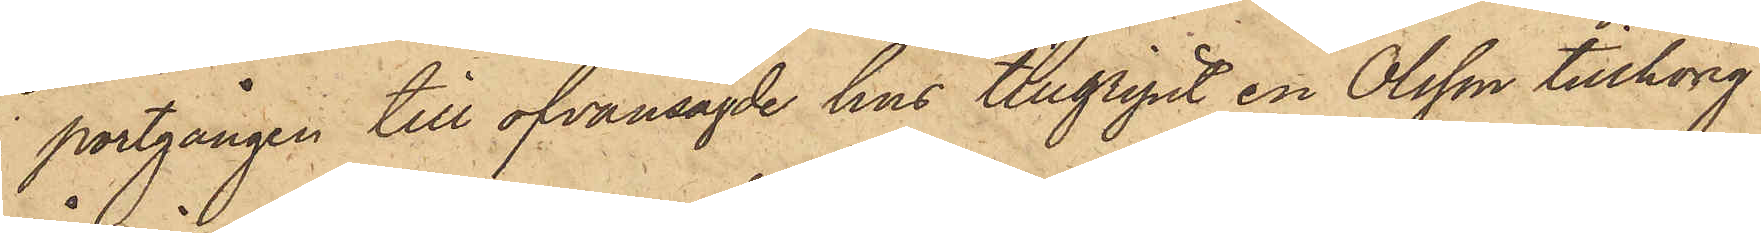i portgången till ofvansagde hus tillgripit en Olsson tillhörig
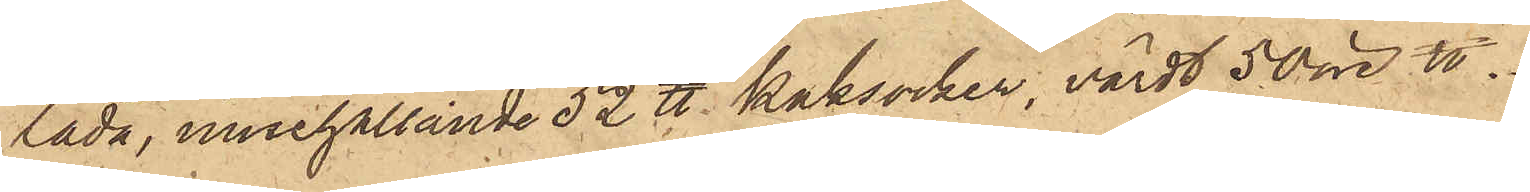låda, innehållande 52 ℔ kaksocker, värdt 50 öre ℔.
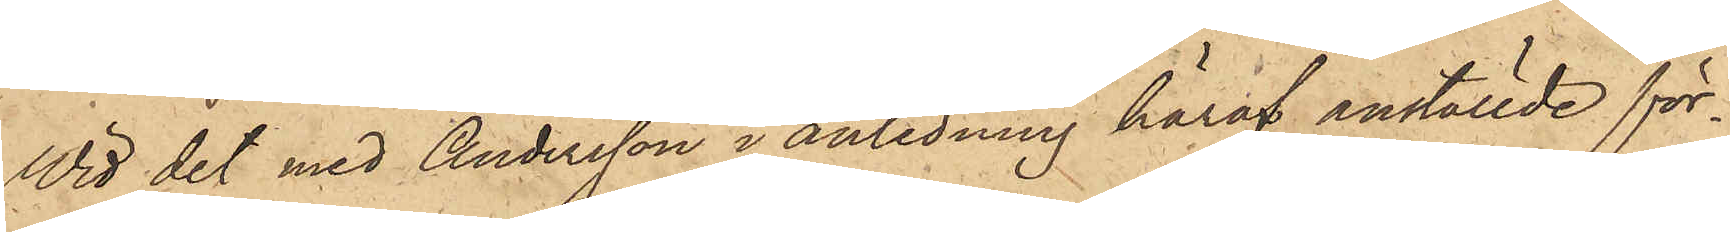Wid det med Andersson i anledning häraf anställde för¬
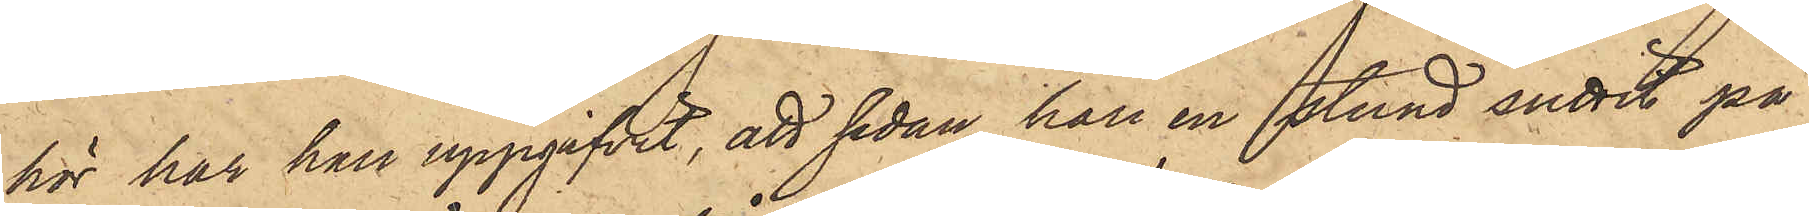hör har han uppgifvit, att sedan han en stund suttit på
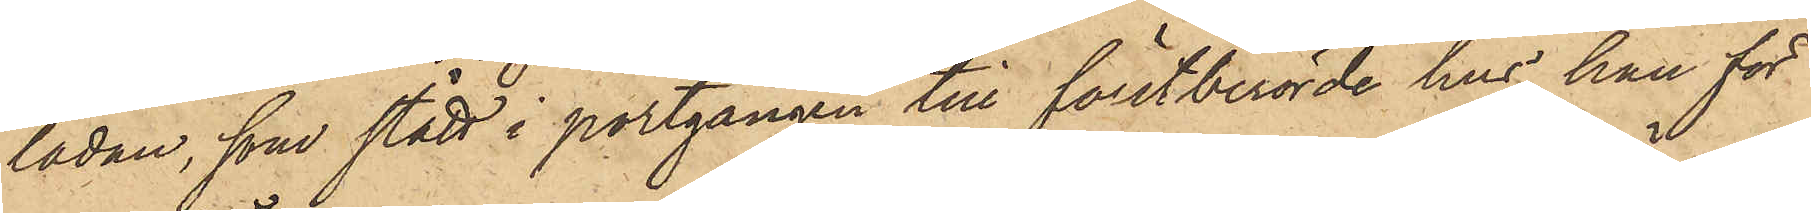lådan, som stått i portgången till förstberörde hus. han för
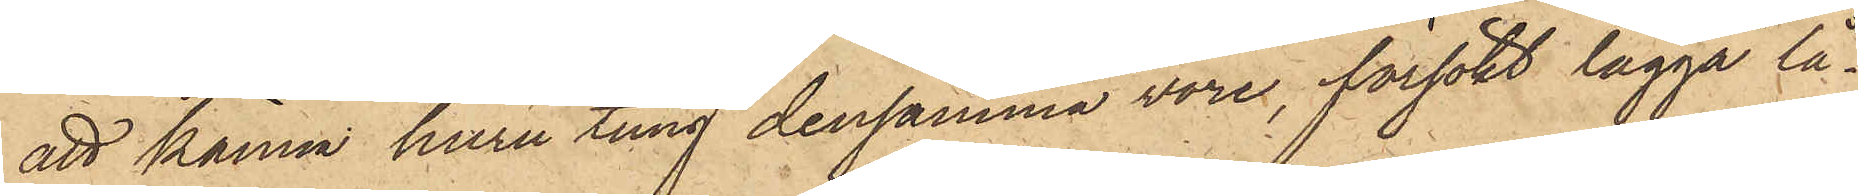att känna huru tung densamma vore, försökt lägga lå¬
